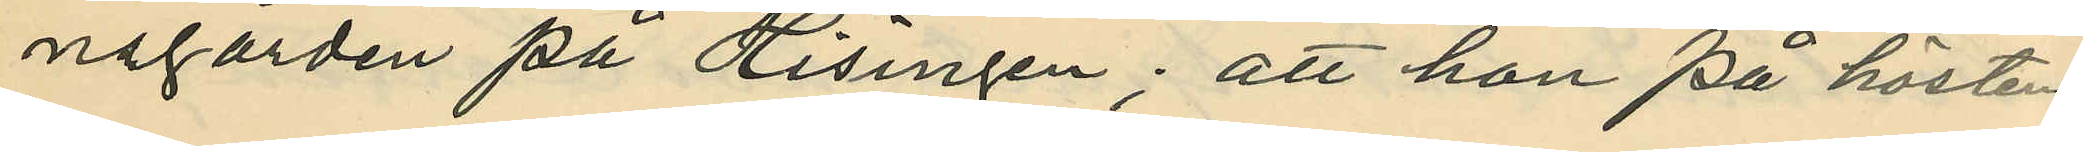negården på Hisingen; att hon på hösten
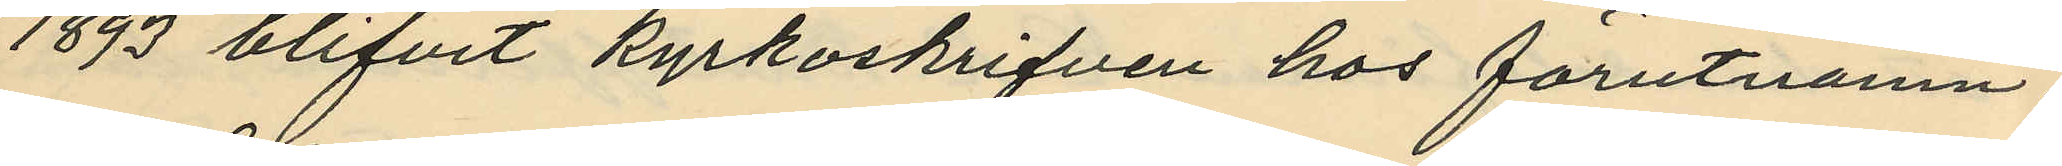1893 blifvit kyrkoskrifven hos förutnämn¬
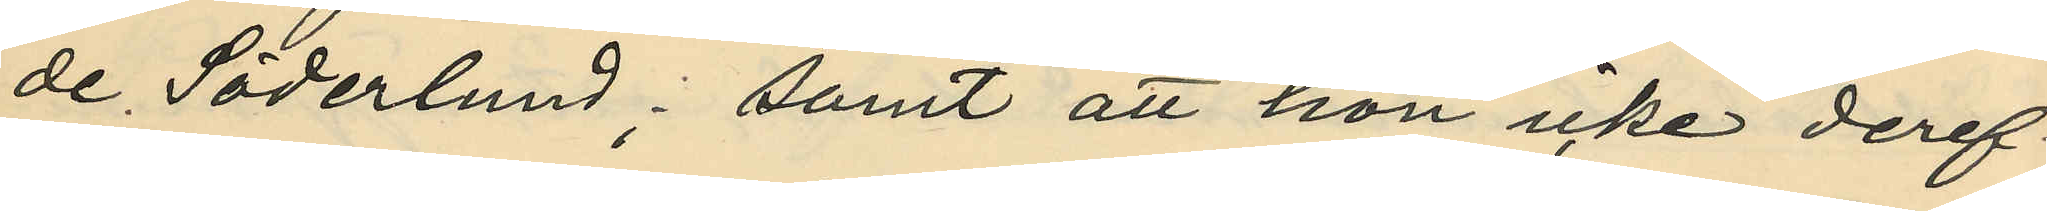de Söderlund; samt att hon icke deref¬
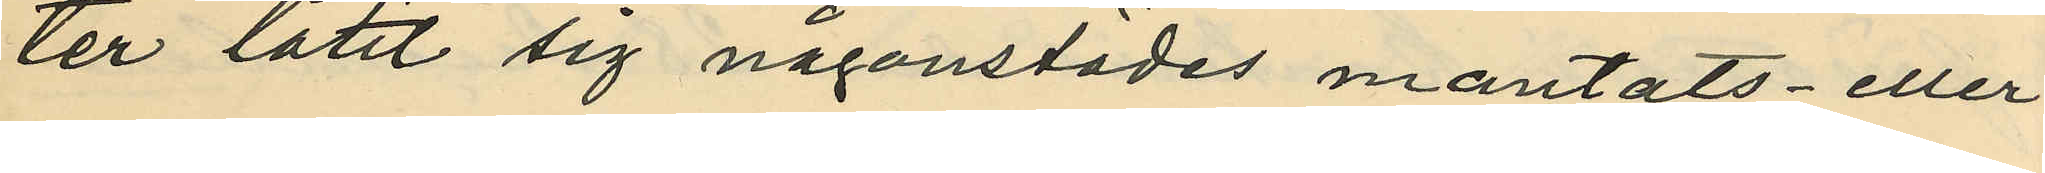ter låtit sig någonstädes mantals- eller
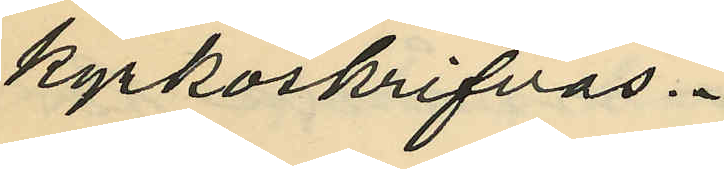kyrkoskrifvas.
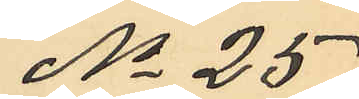No 25
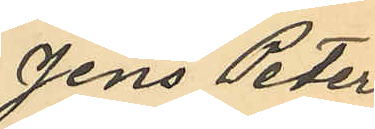Jens Peter
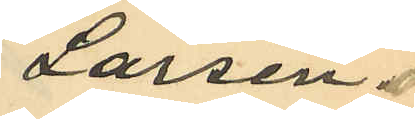Larsen
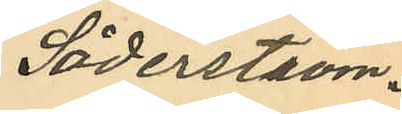Söderström.
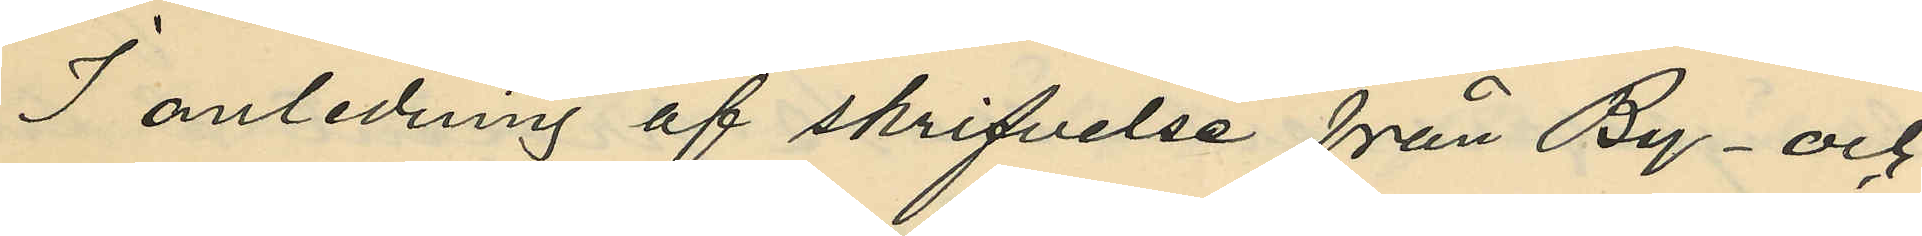I anledning af skrifvelse från By- och
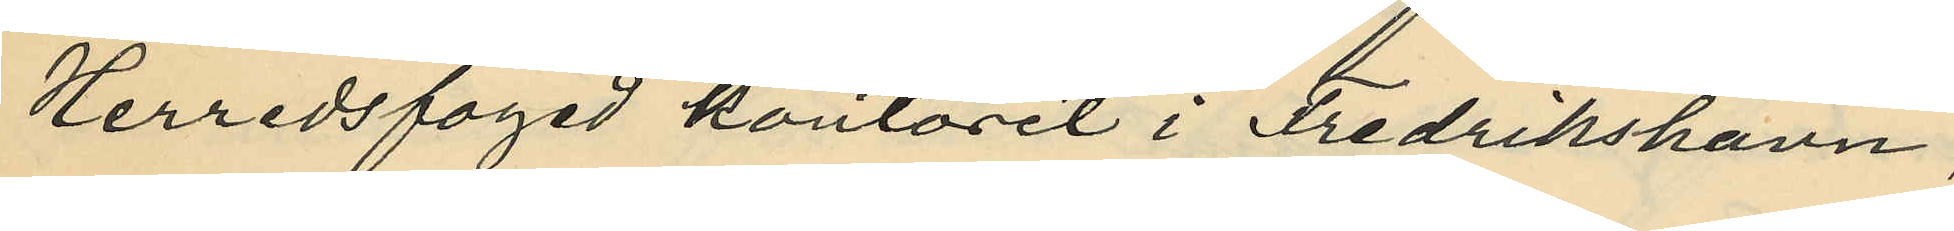Herredsfoged kontoret i Fredrikshamn,
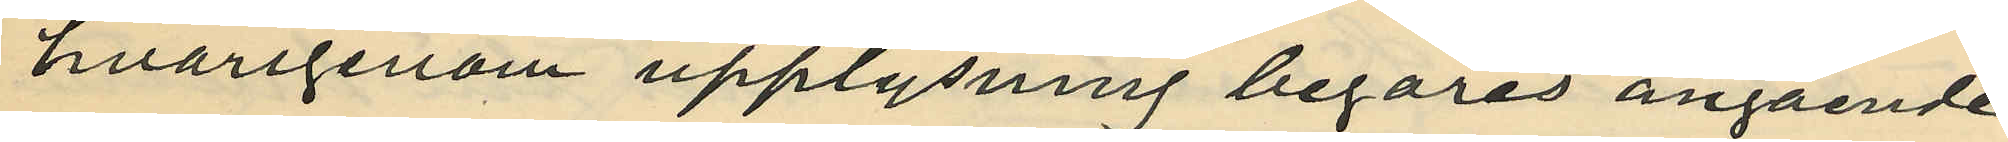hvarigenom upplysning begäres angående
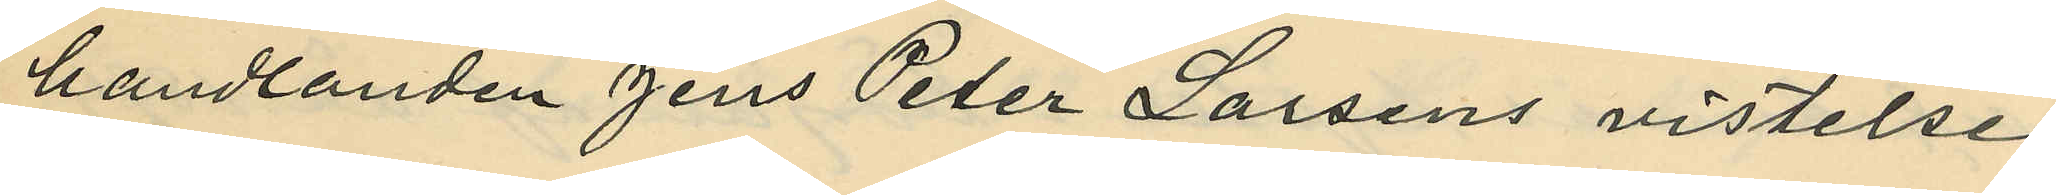handlanden Jens Peter Larsens vistelse
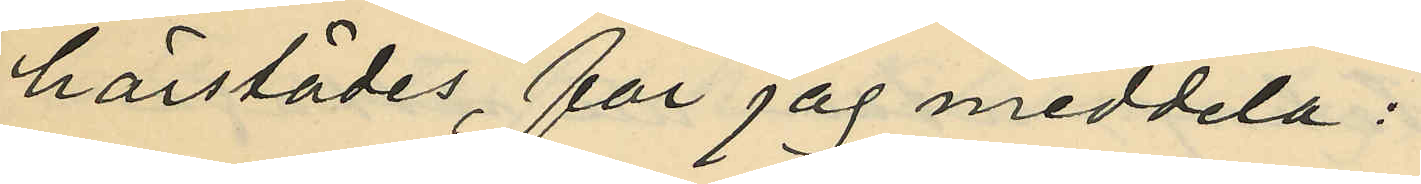härstädes, får jag meddela:
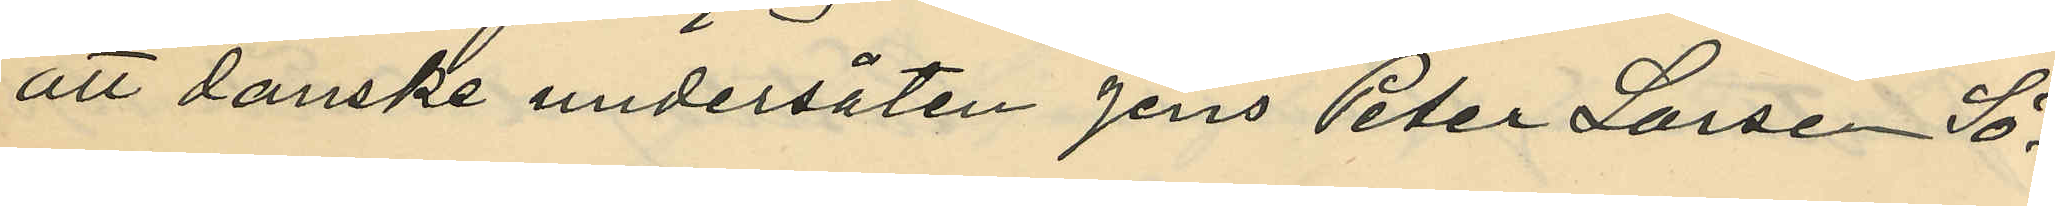att danske undersåten Jens Peter Larsen Sö¬
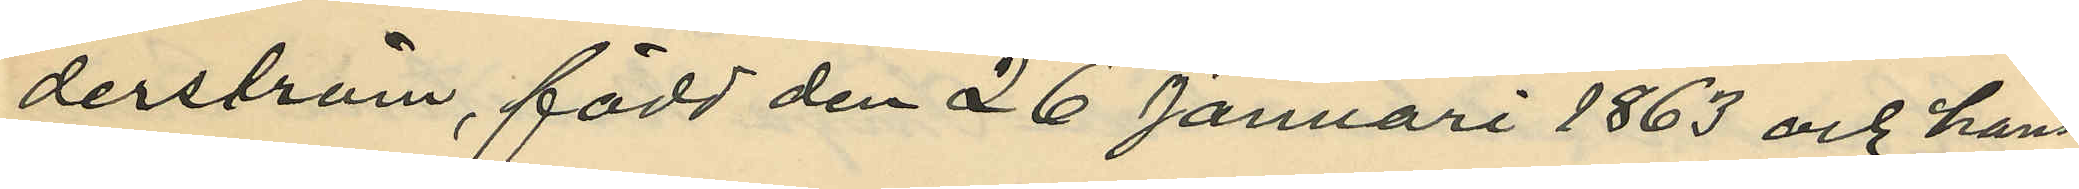derström, född den 26 Januari 1863 och hans
